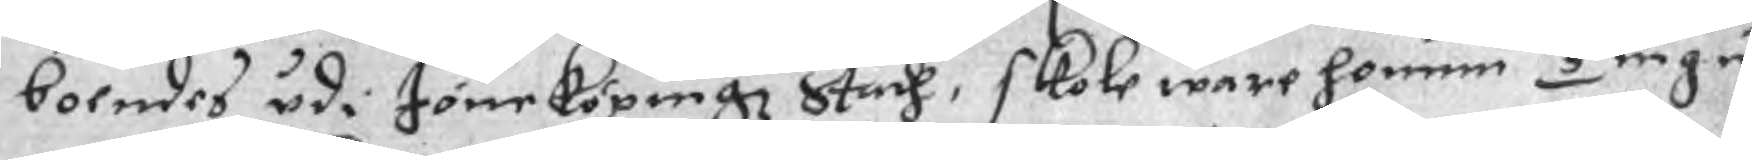boendes udi Jöneköpingz Stadh, skole ware honum Tiugu
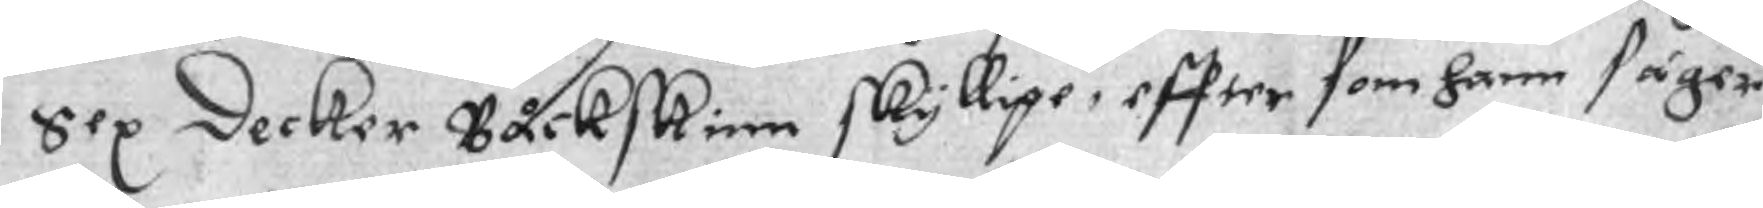Sex Decker Båckskinn skyllige, effter som hann säger
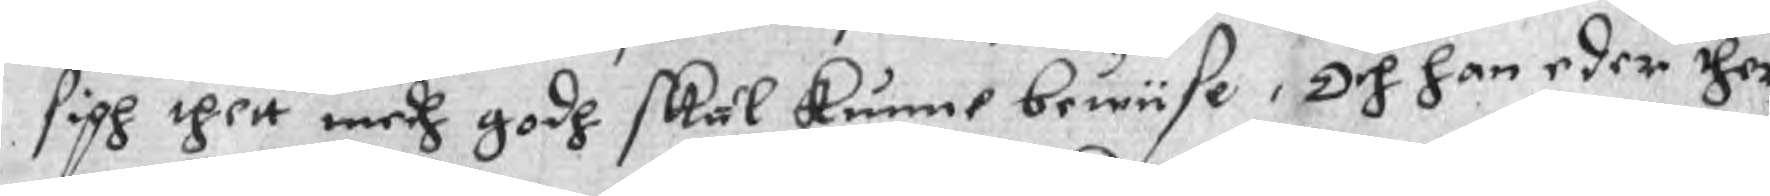sigh thett medh godh skäl kunne bewiise, Och han eder ther
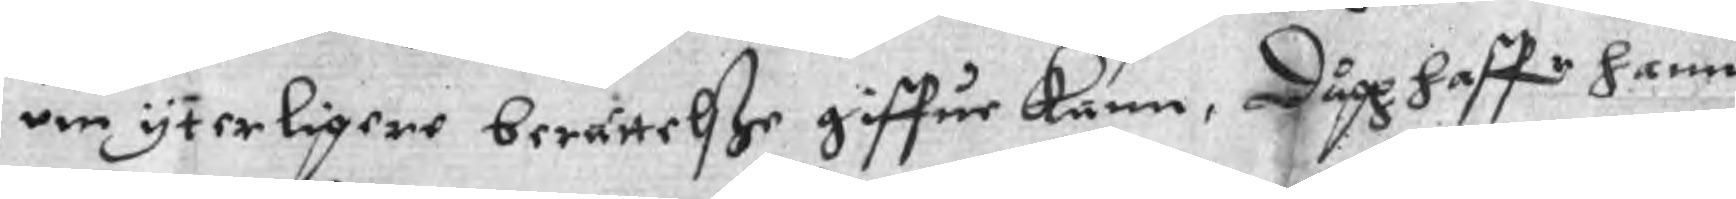um yterligere berättelße giffue kann, Dågh haffr hann
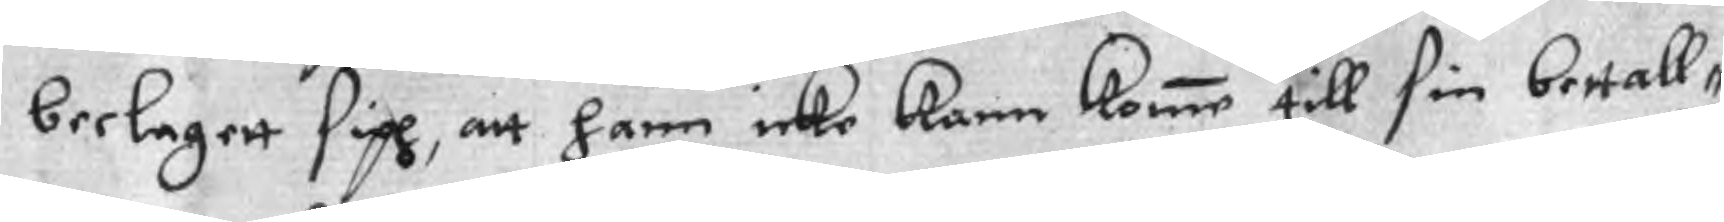beelagett sigh, att hann icke kann komme till sin bettall¬
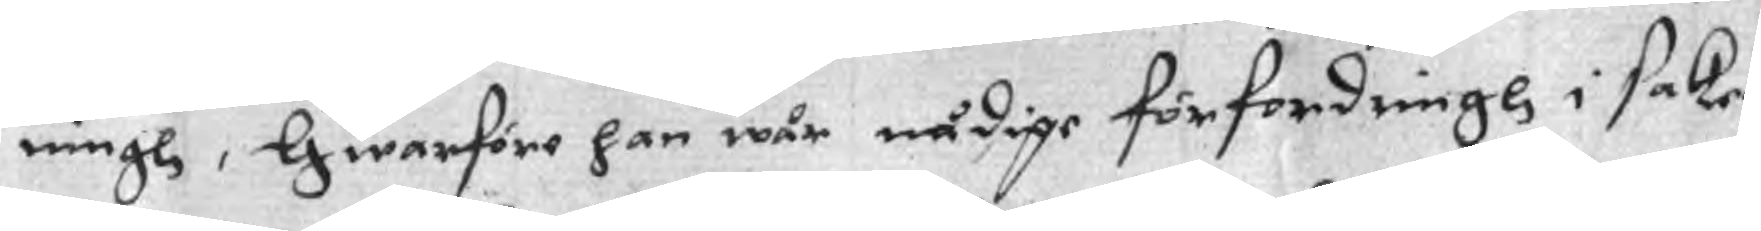ningh, Hwarföre han wår nådige förfordringh i saken
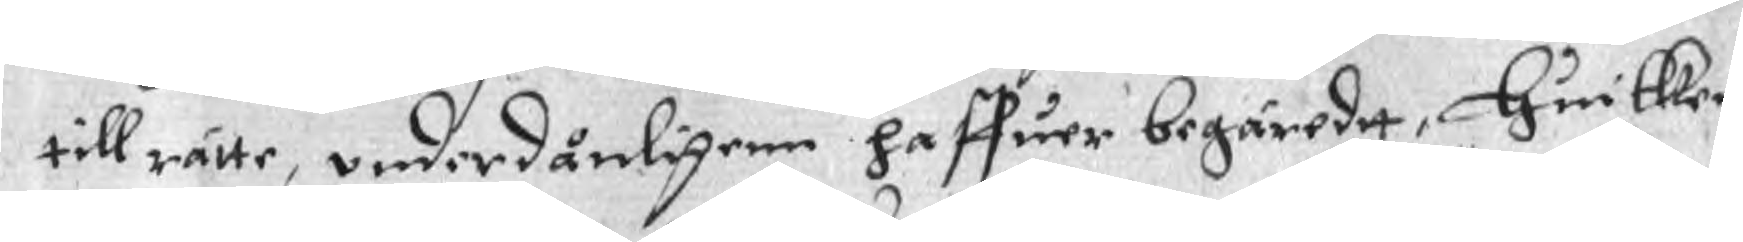tillrätte, underdånligenn haffuer begäredtt, huilken
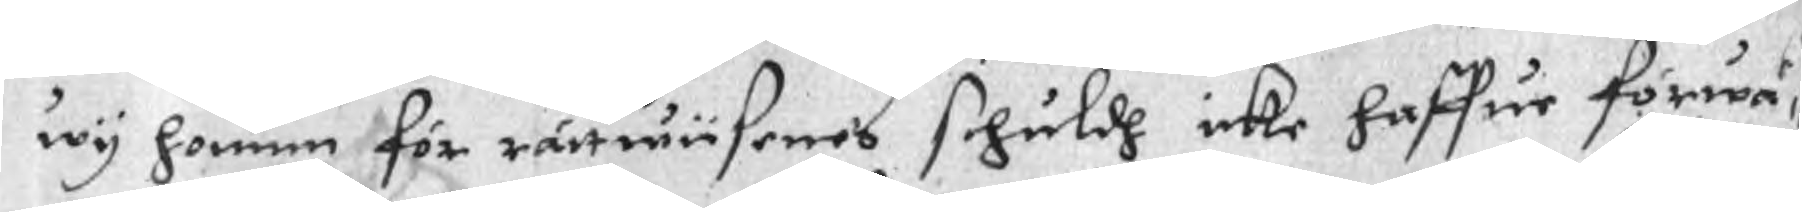wy honum för rättwiisenes schuldh icke haffue förwä¬
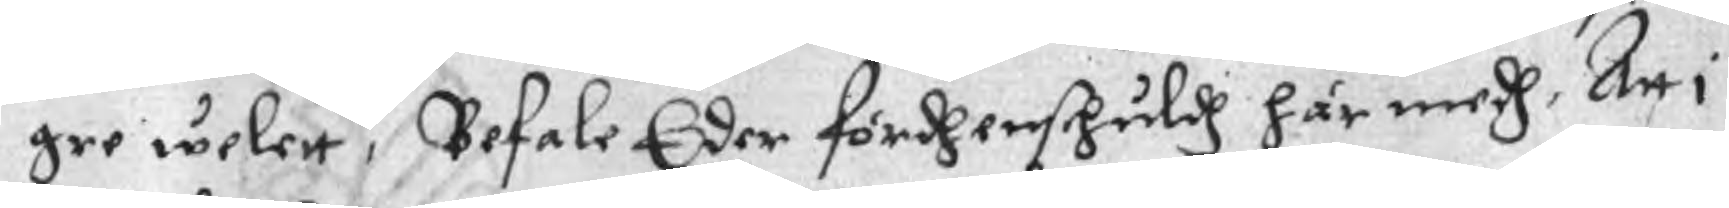gre welett, Befale Eder fördhenschuldh här medh, Att i
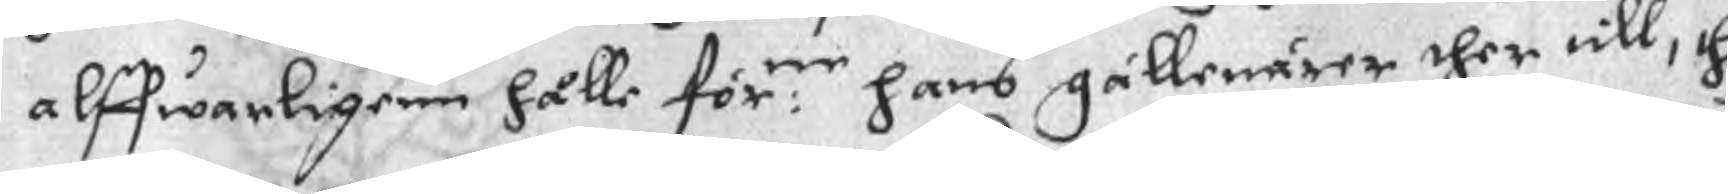alffwarligenn hålle för:ne hans gällenärer ther till, thz
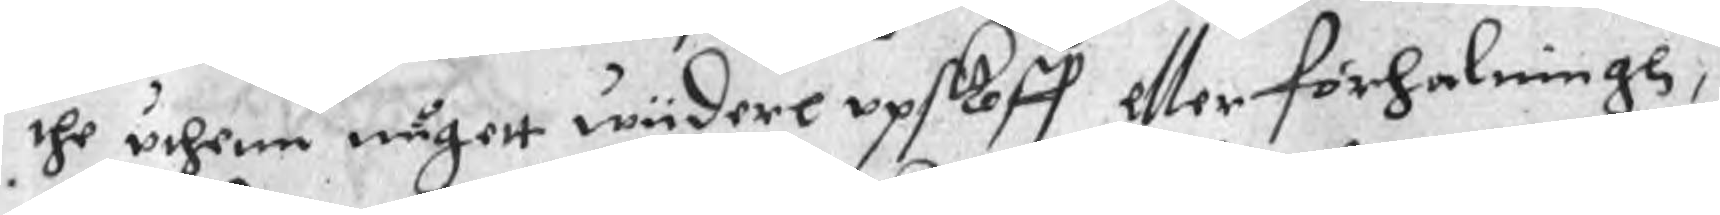the uthenn någott wiidere upskoff eller förhalningh,
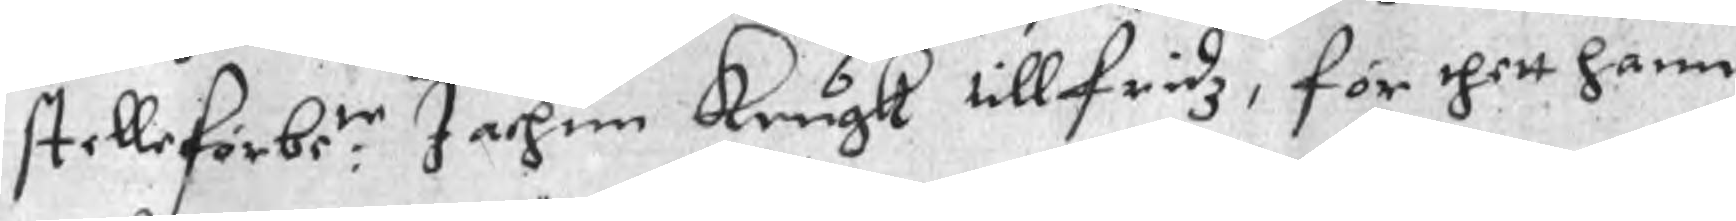stelle förbe:te Jachim Krugk tillfridz, för thett hann
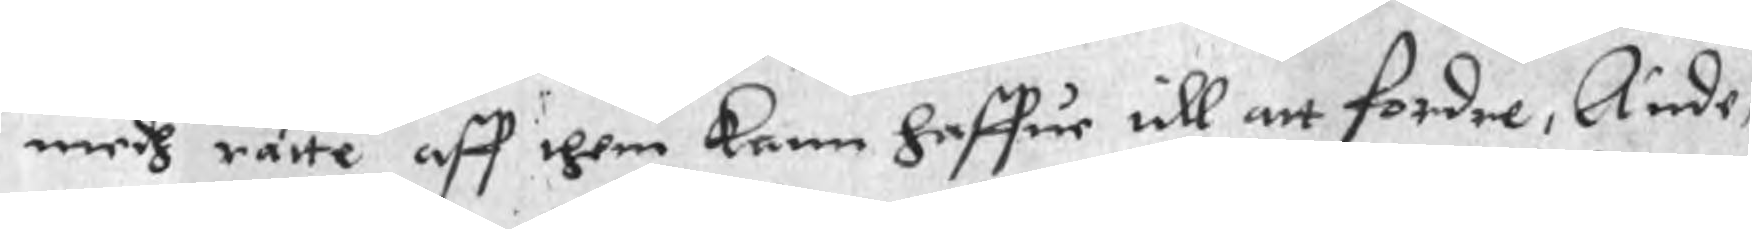medh rätte aff them kann haffue till att fordre, Ande¬
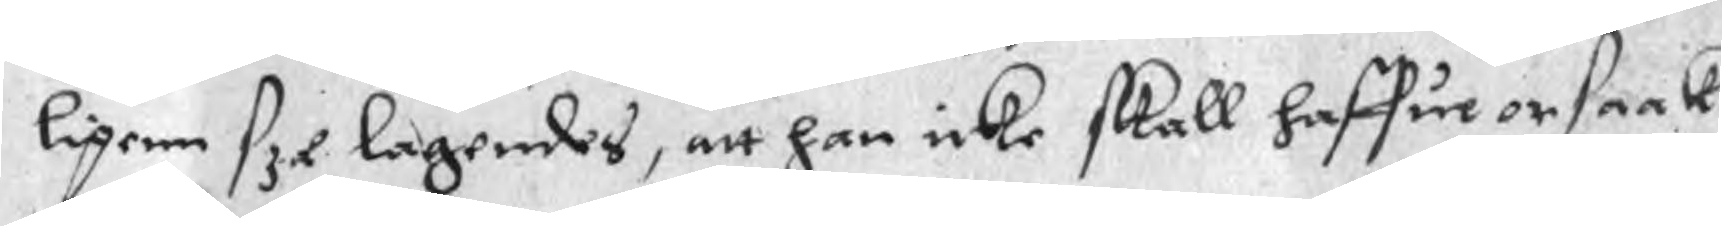ligenn sze lagendes, att han icke skall haffue orsaak
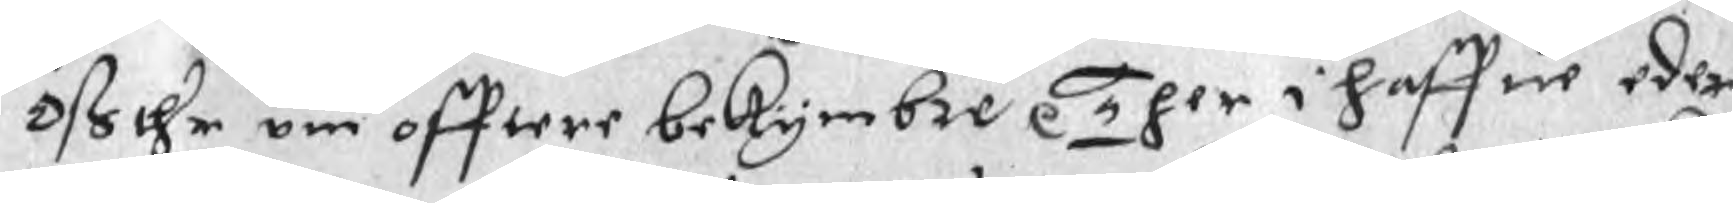Oß thr om offtere bekymbre p Ther i haffue eder
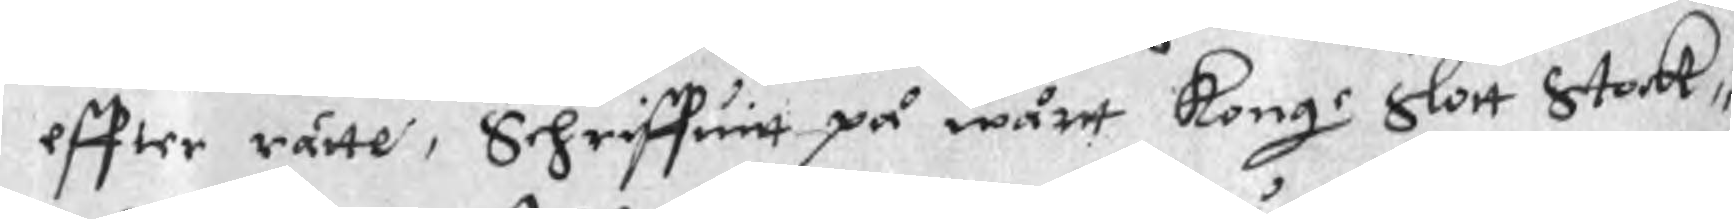effter rätte, Schriffuitt på wårt Konge Slott Stoc¬k
